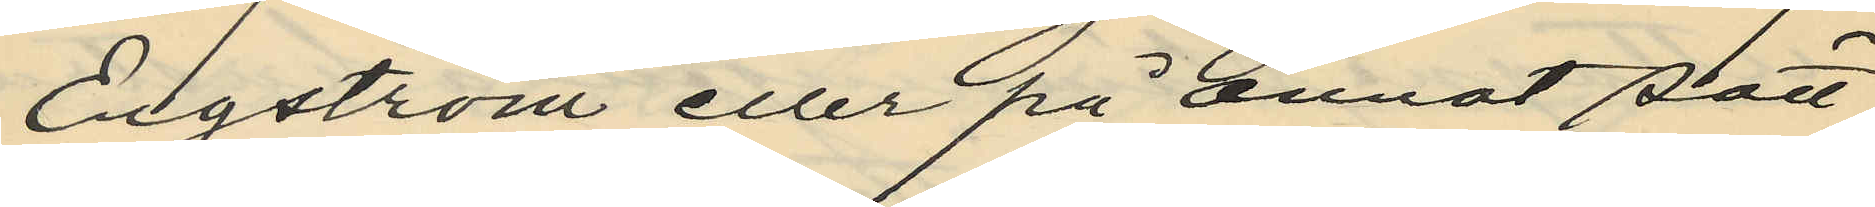Engström eller på annat sätt
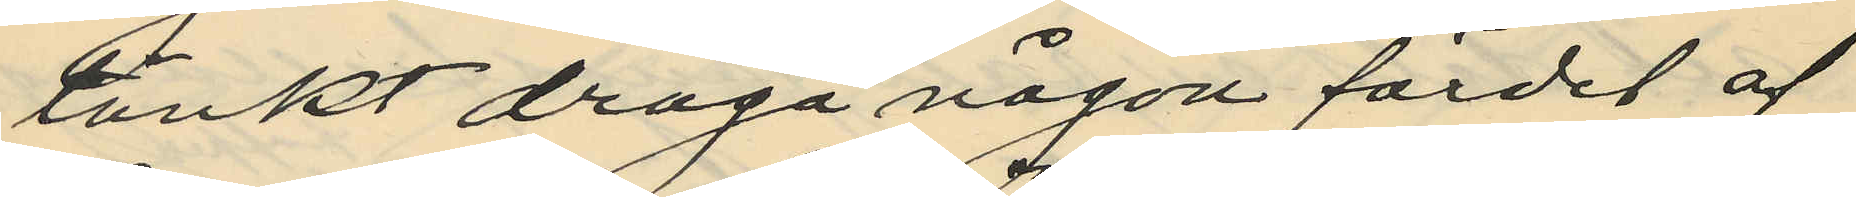tänkt draga någon fördel af
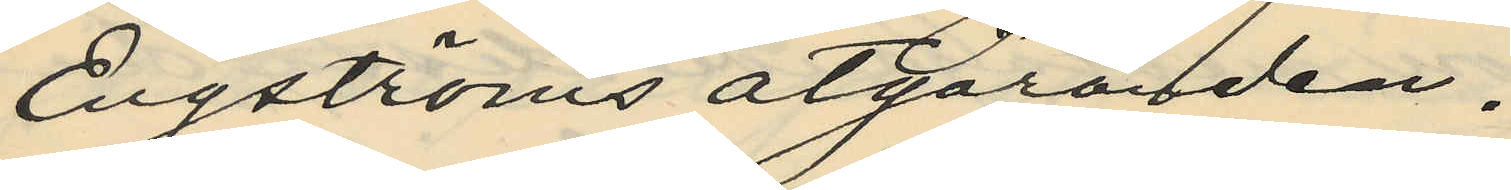Engströms åtgöranden.
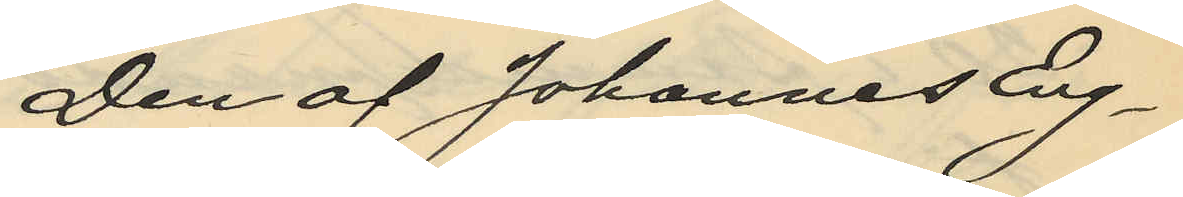Den af Johannes Eng¬
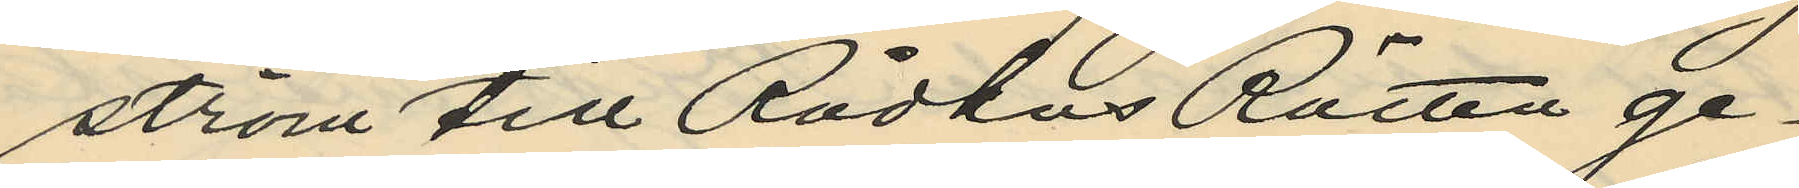ström till Rådhus Rätten ge¬
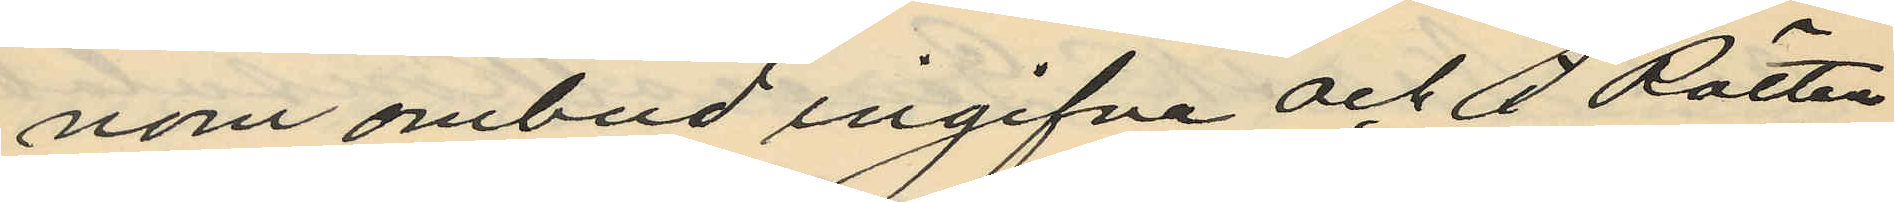nom ombud ingifna och af Rätten
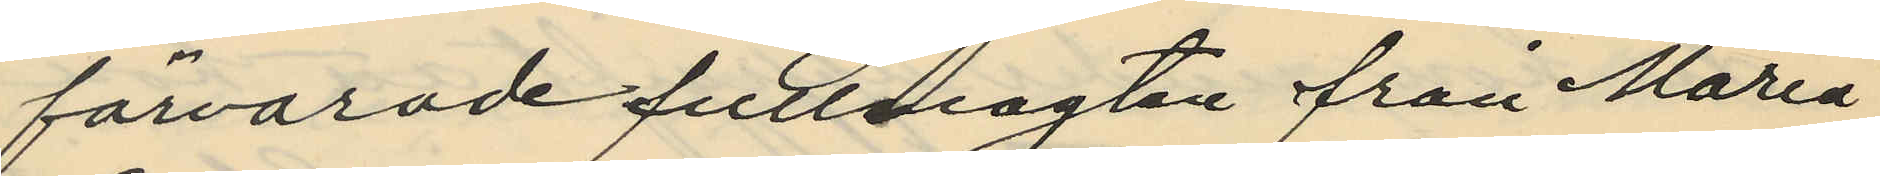förvarade fullmagten från Maria
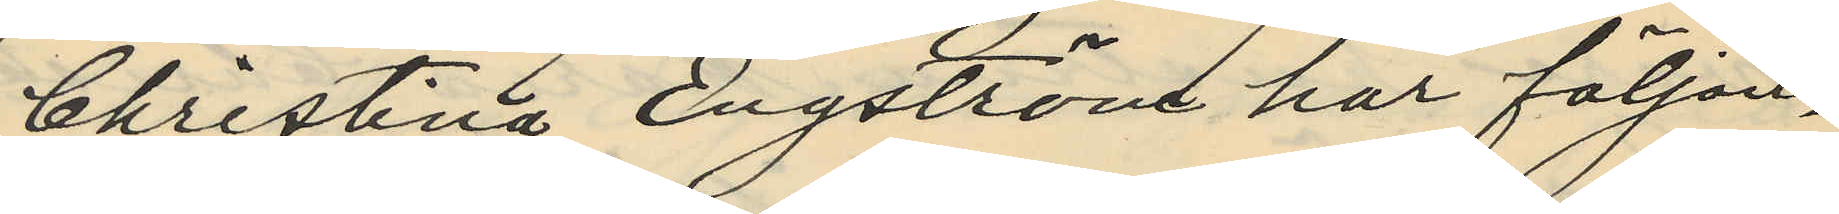Christina Engström har följan¬
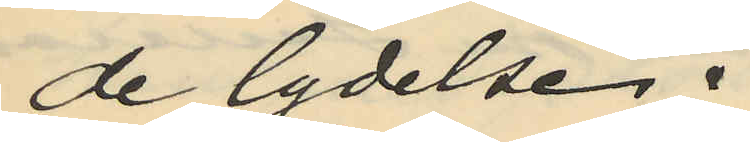de lydelse:
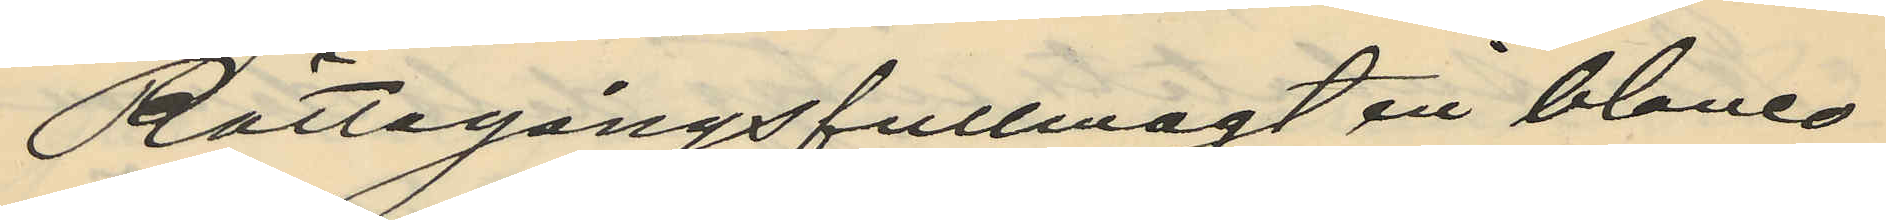Rättegångsfullmagt in blanco
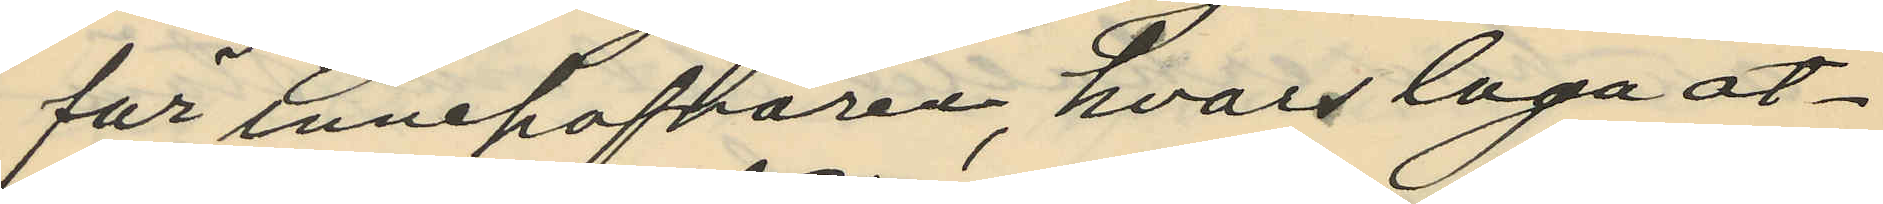för innehafvaren, hvars laga åt¬
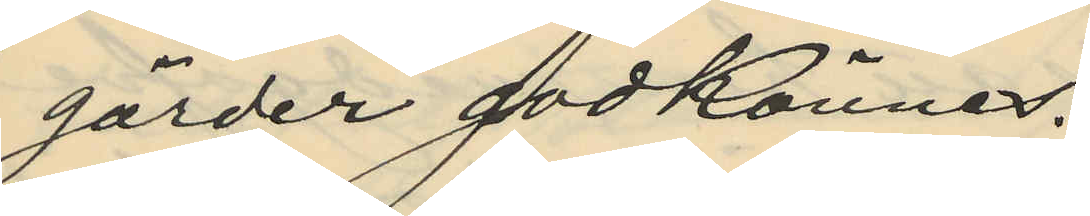gärder godkännes.
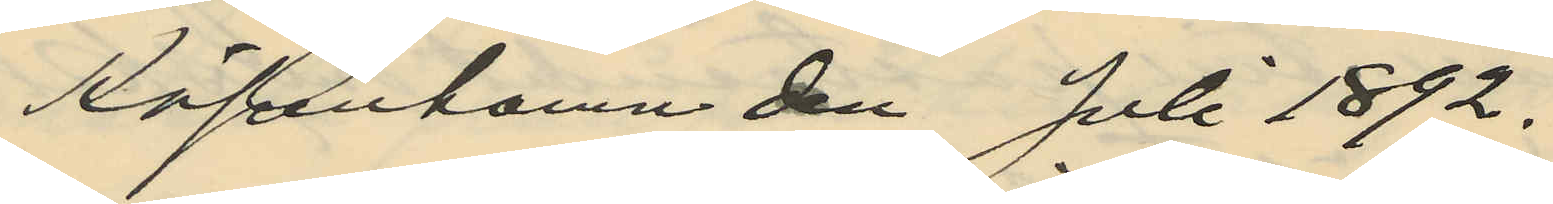Köpenhamn den Juli 1892.
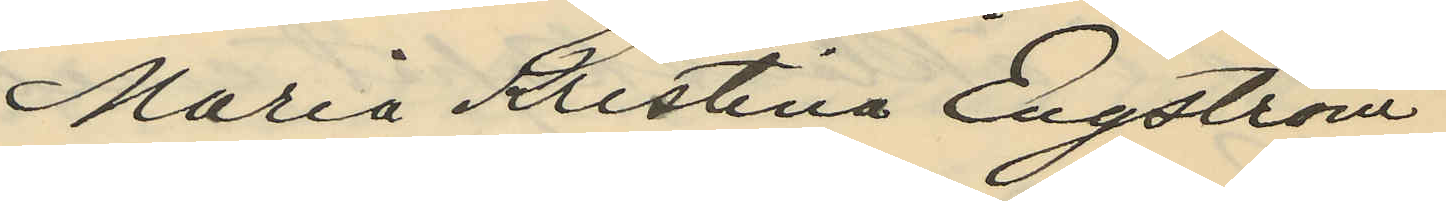Maria Kristina Engström
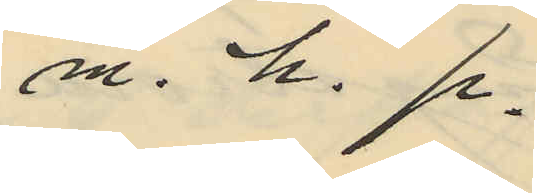m. h. p.
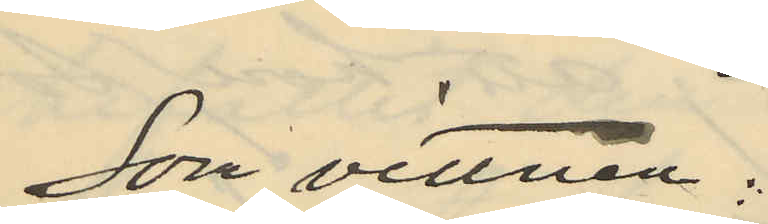Som vittnen:
